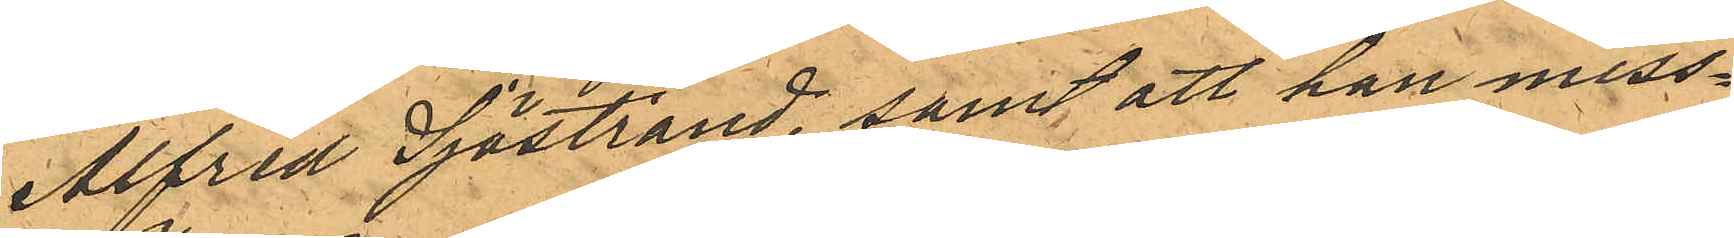Alfred Sjöstrand, samt att han miss¬
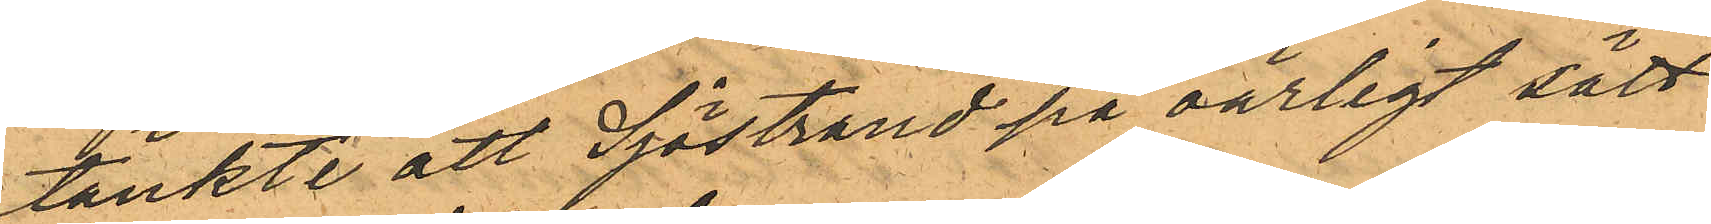tänkte att Sjöstrand på oärligt sätt
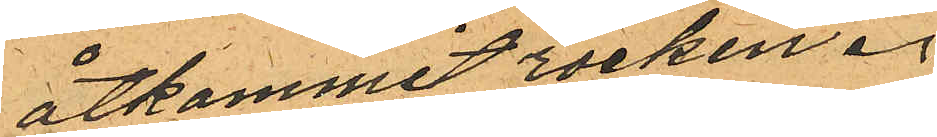åtkommit rocken.
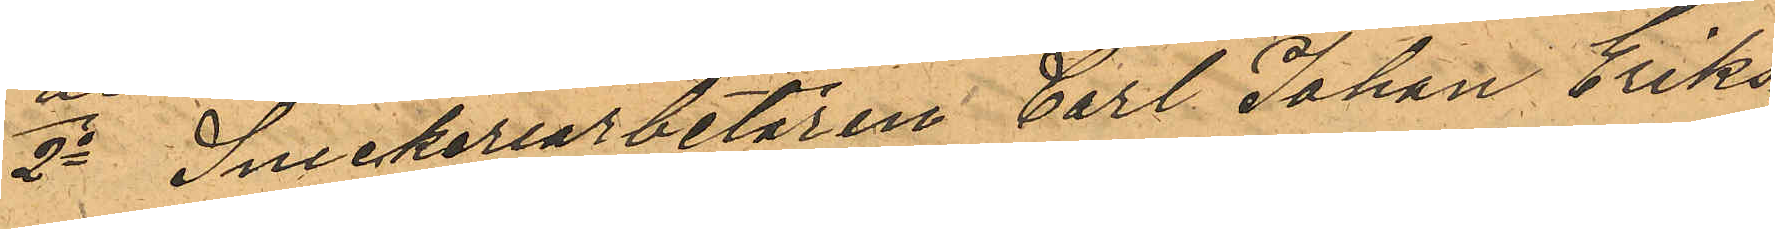2o Snickeriarbetaren Carl Johan Eriks¬
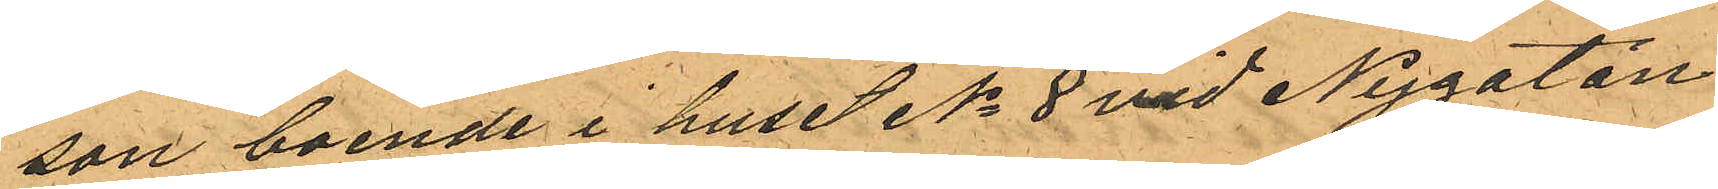son boende i huset No 8 vid Nygatan
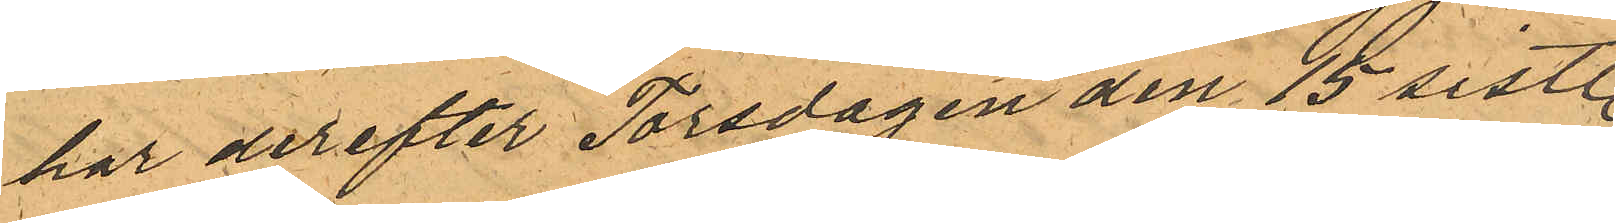har derefter Torsdagen den 15 sistl.
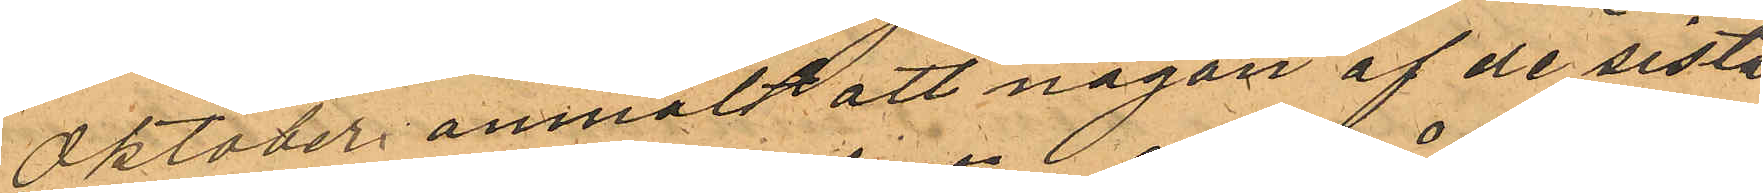Oktober anmält att någon af de sist.
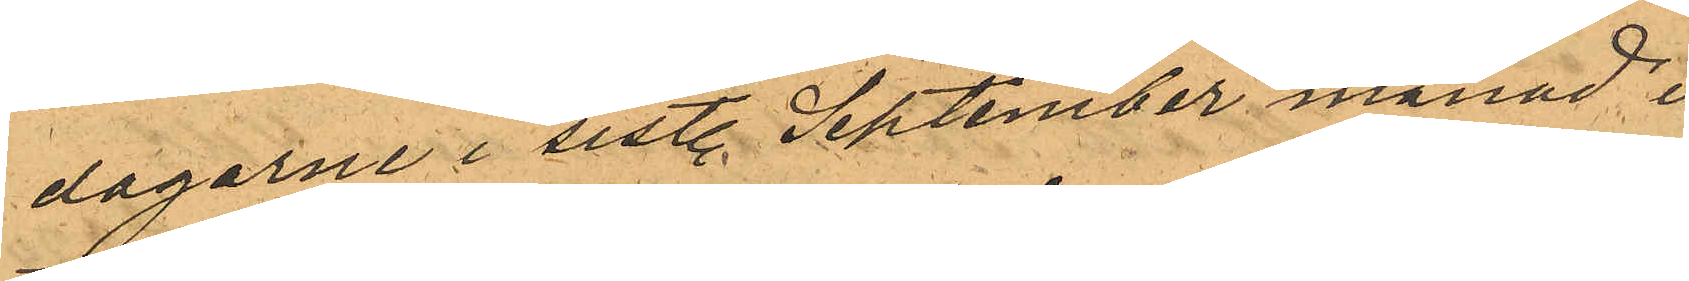dagarne i sistl. September månad i
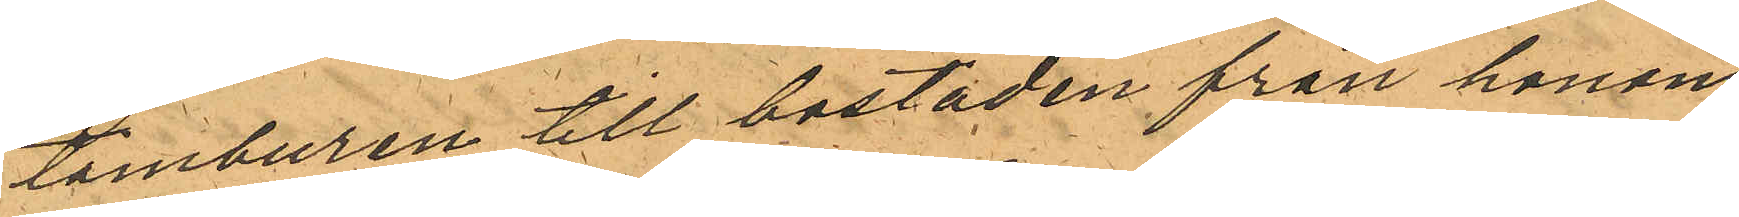tamburen till bostaden från honom
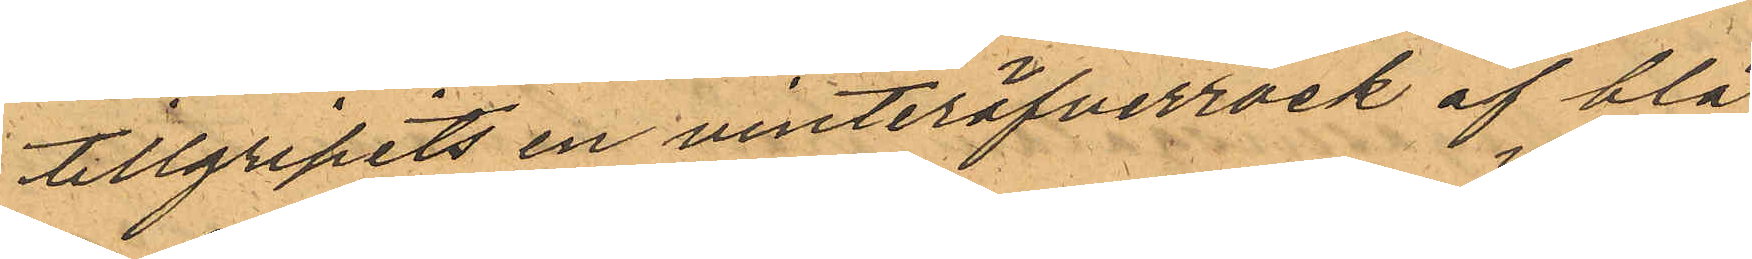tillgripits en vinteröfverrock af blå
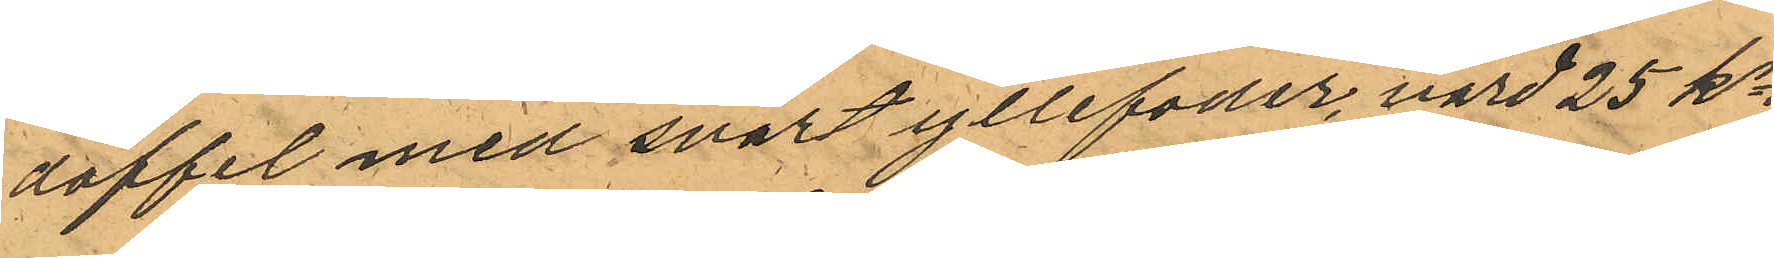doffel med svart yllefoder, värd 25 kr.
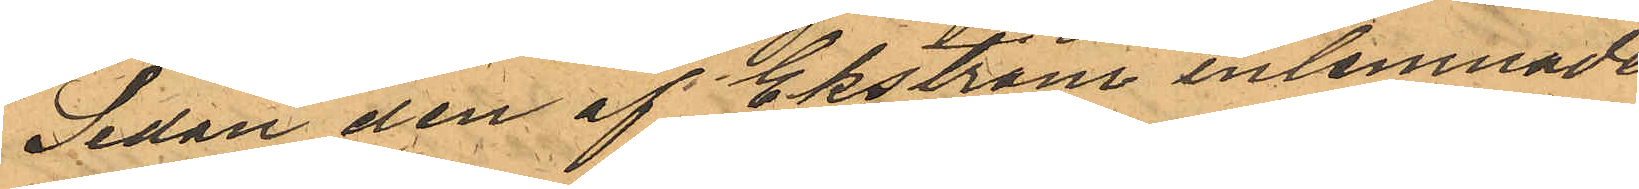Sedan den af Ekström inlemnade
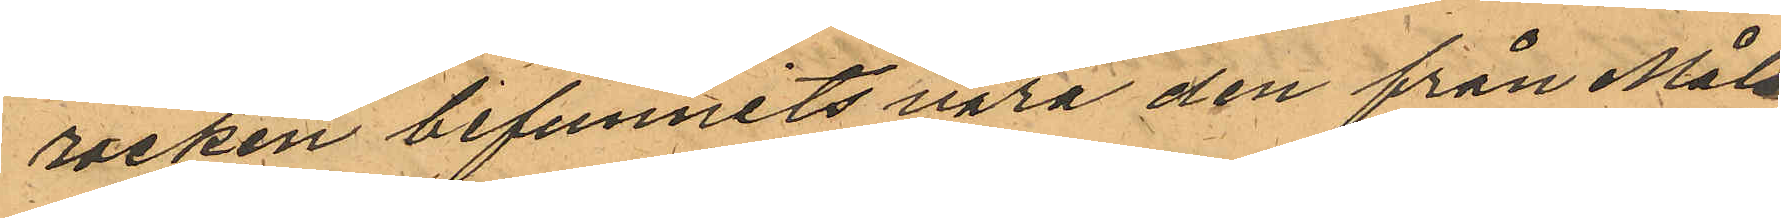rocken befunnits vara den från Måls¬
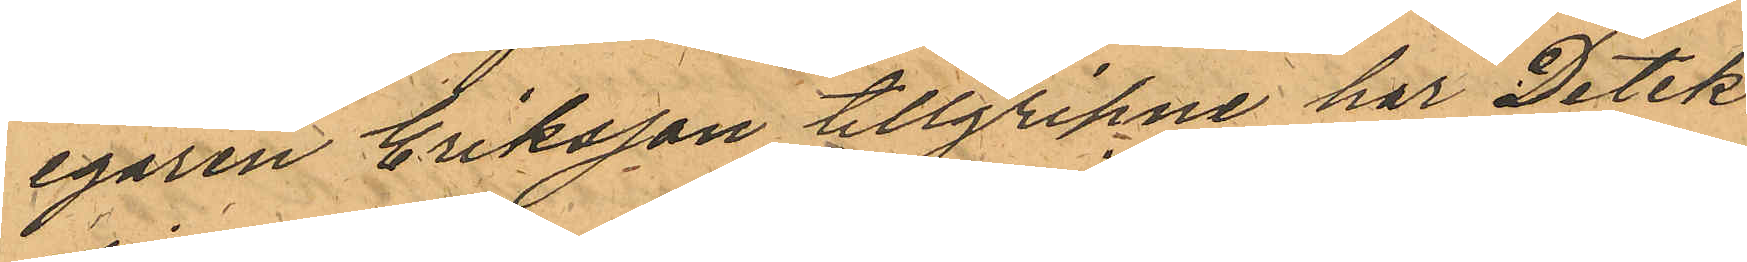egaren Eriksson tillgripne har Detek¬
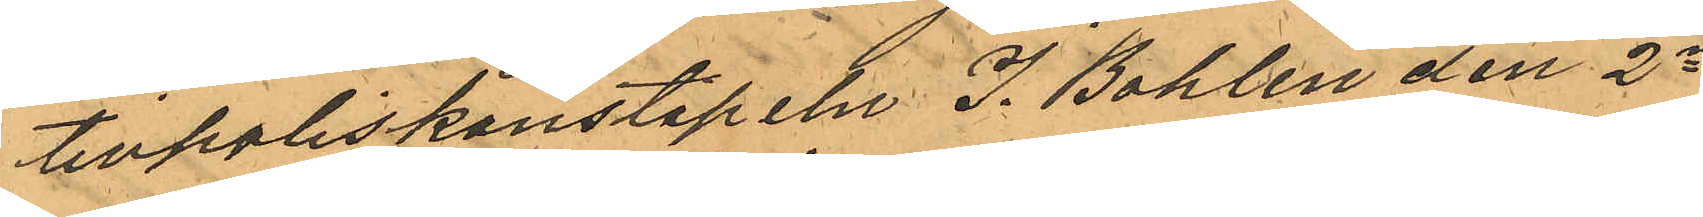tivpoliskonstapeln J. Bohlin den 2a
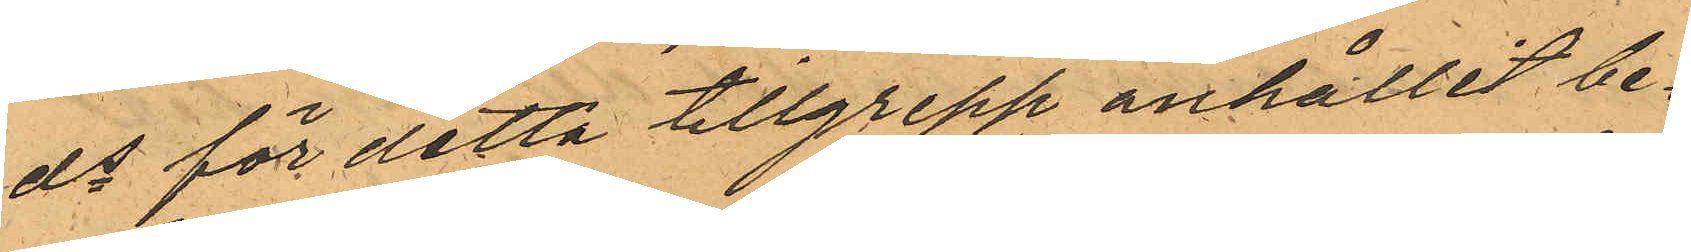ds för detta tillgrepp anhållit be¬
